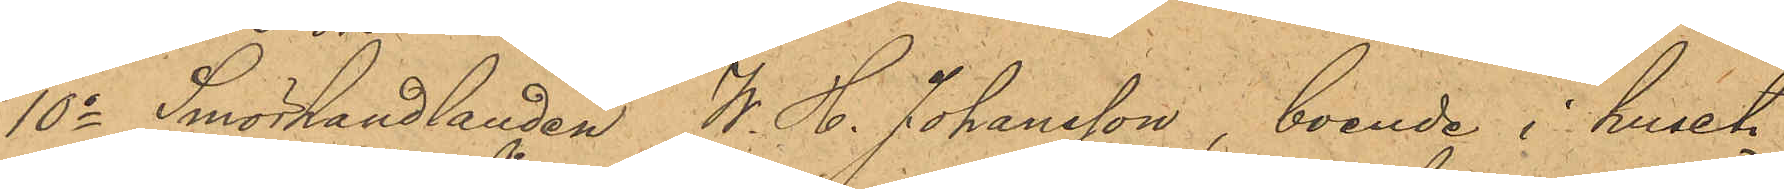10o Smörhandlanden W. H. Johansson, boende i huset
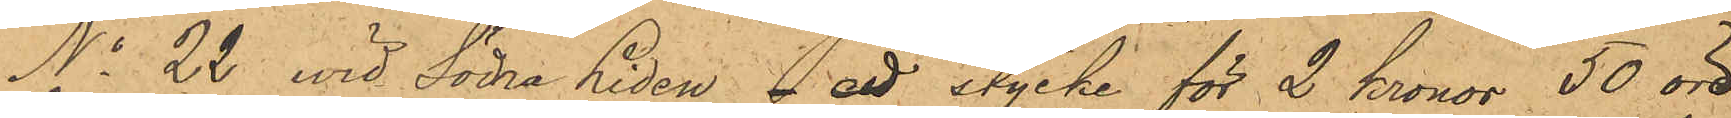No 22 vid Södra Liden - ett stycke för 2 kronor 50 öre
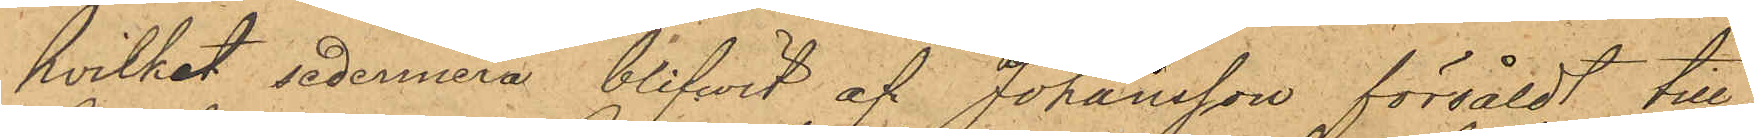hvilket sedermera blifwit af Johansson försåldt till
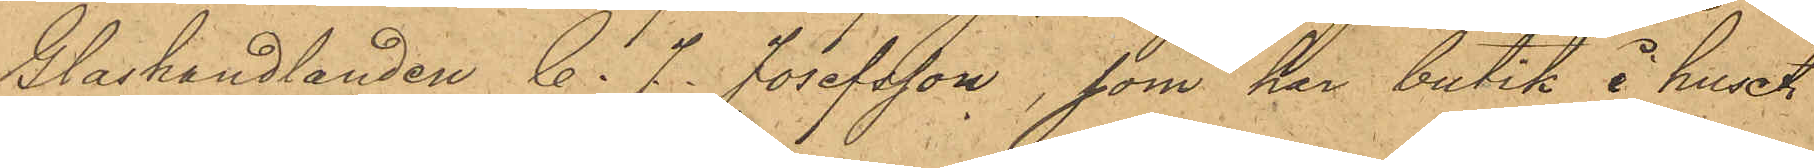Glashandlanden C. J. Josefsson, som har butik i huset
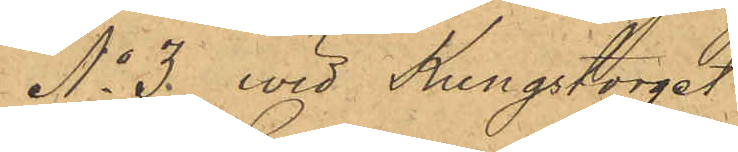No 3. vid Kungstorget
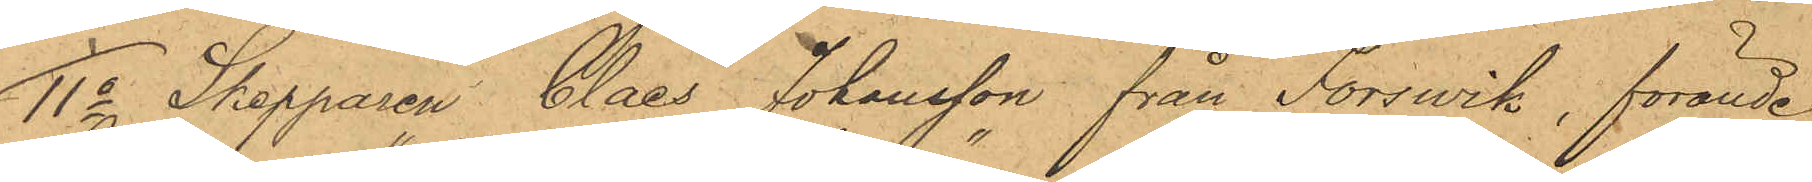11o Skepparen Claes Johansson från Forswik, förande
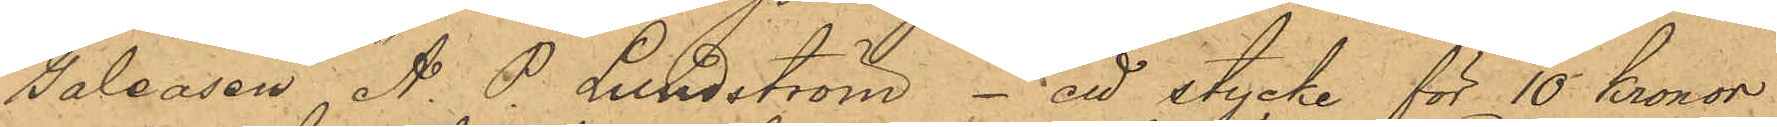Galeasen "A. P. Lundström" - ett stycke för 10 Kronor
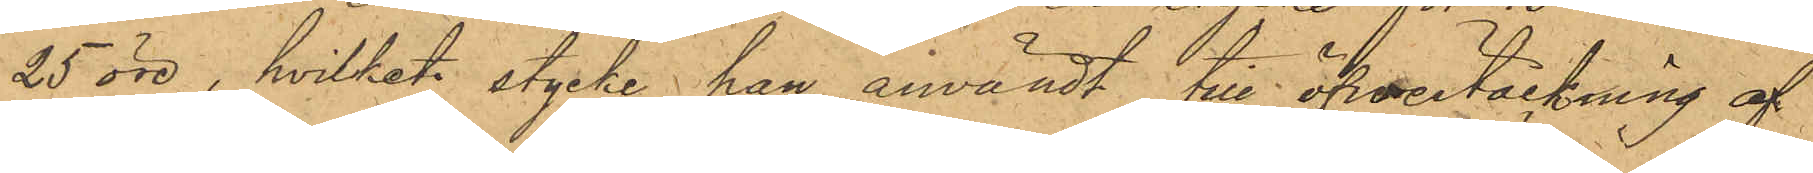25 öre, hvilket stycke han användt till öfvertäckning af
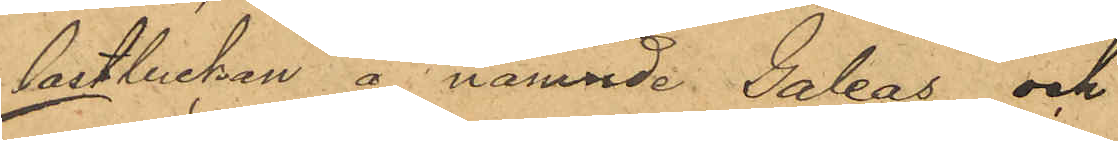lastlucken å nämnde Galeas och
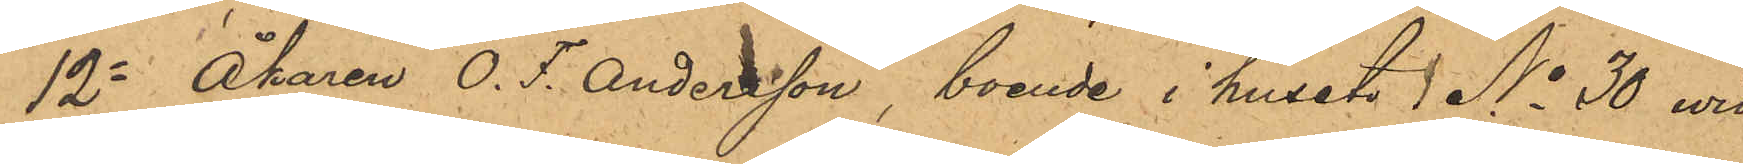12o Åkaren O. F. Andersson, boende i huset No 30 wid
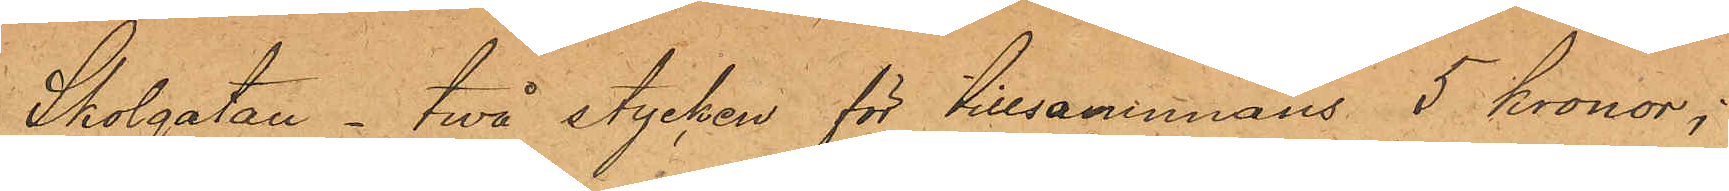Skolgatan- två stycken för tillsammans 5 kronor;
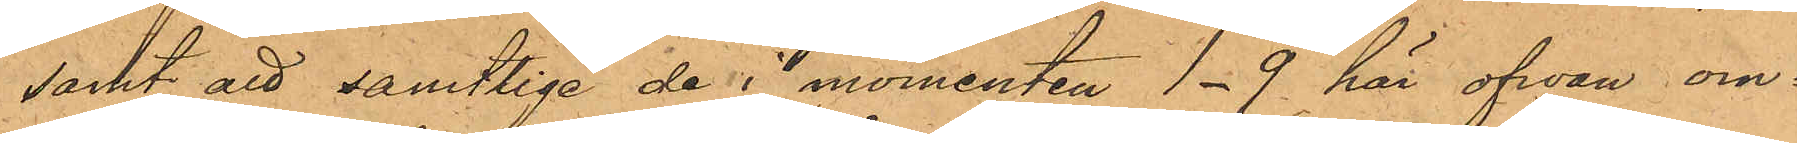samt att samtlige de i momenten 1-9 här ofwan om¬
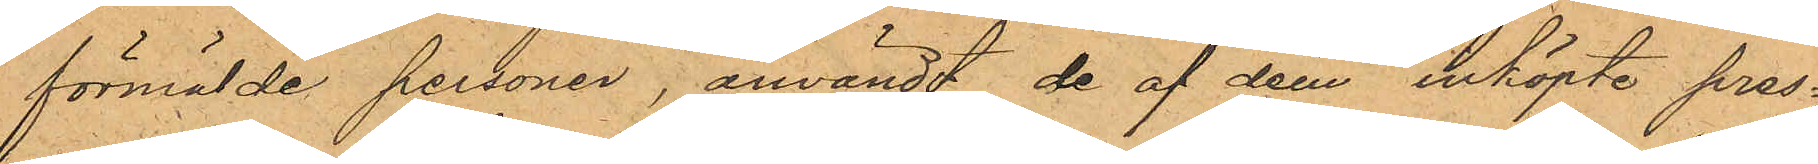förmälde personer, användt de af dem inköpte pres¬
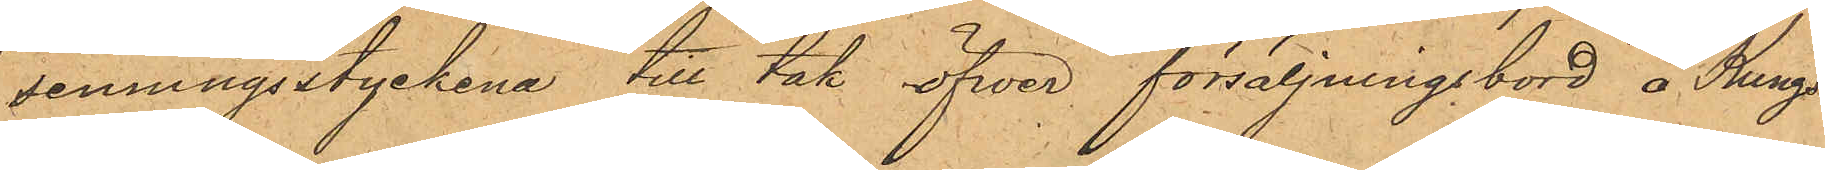senningsstyckena till tak öfver försäljningsbord å Kungs¬
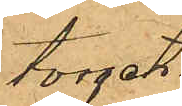torget.
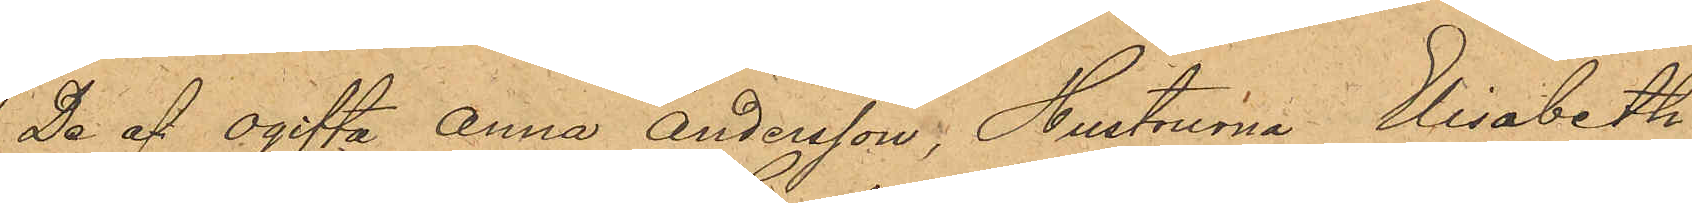De af ogifta Anna Andersson, Hustrurna Elisabeth
